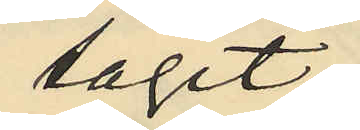tagit
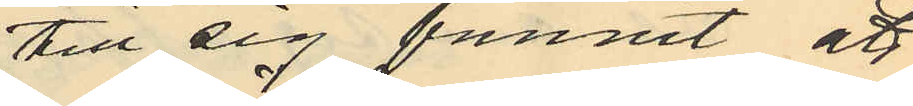till sig funnit att
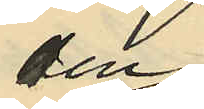en
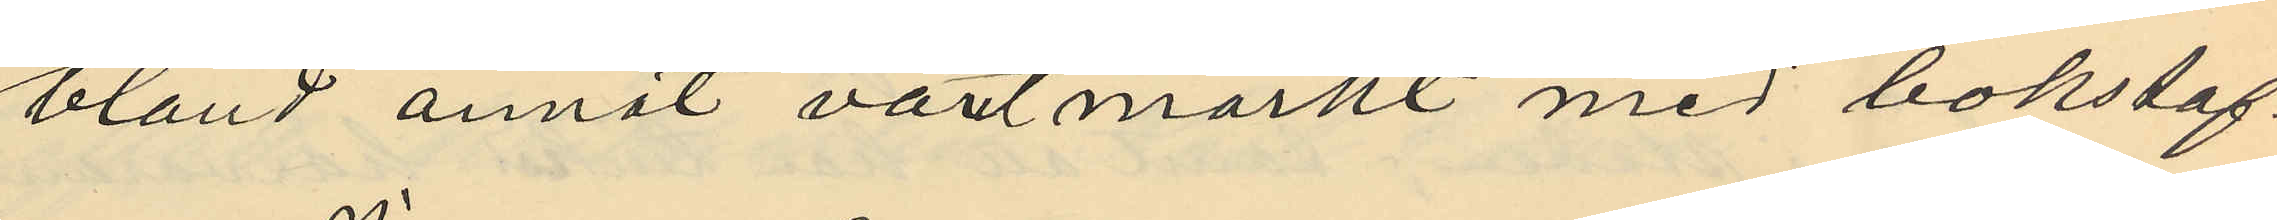bland annat varit märkt med bokstav¬
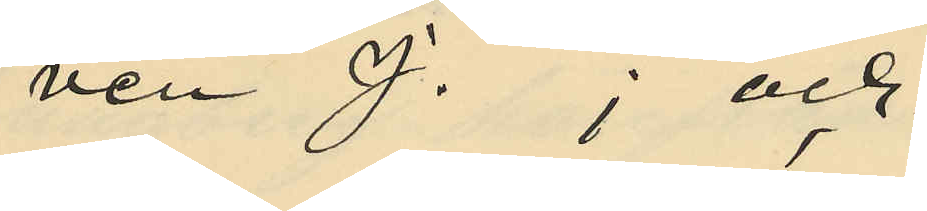ven J; och
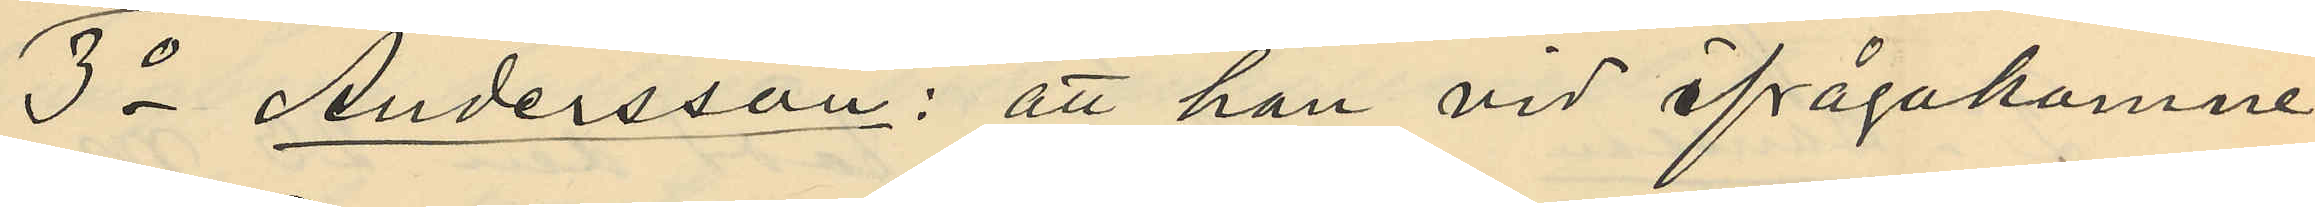3o Andersson: att han vid ifrågakomne
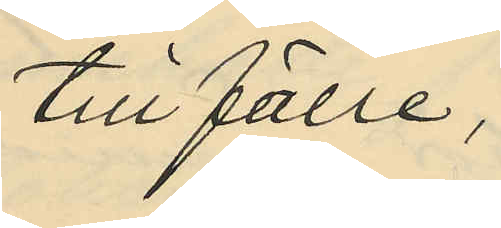tillfälle,
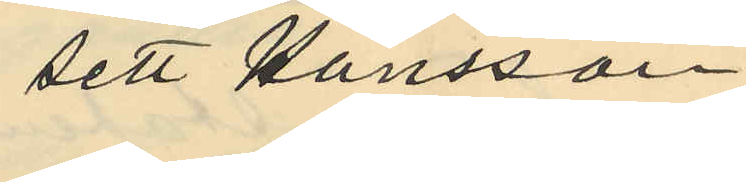sett Hansson
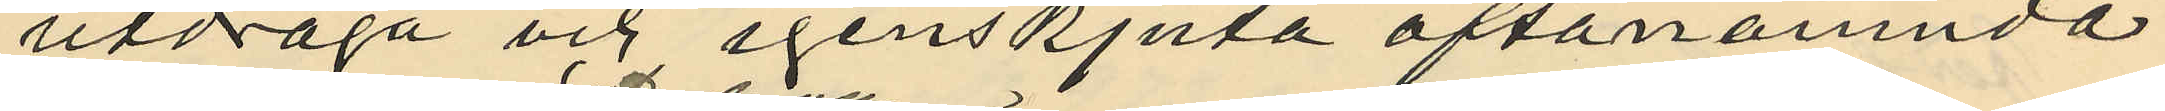utdraga och igenskjuta oftanämnda
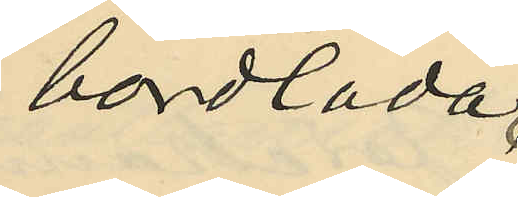bordlåda.
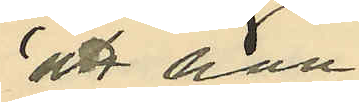att han
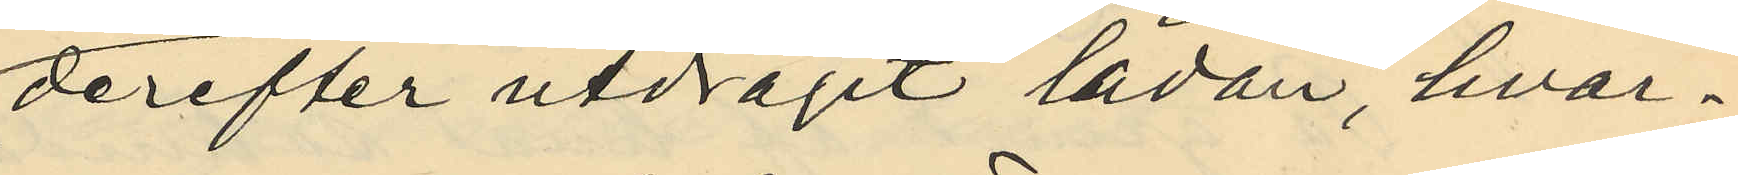derefter utdragit lådan, hvar¬
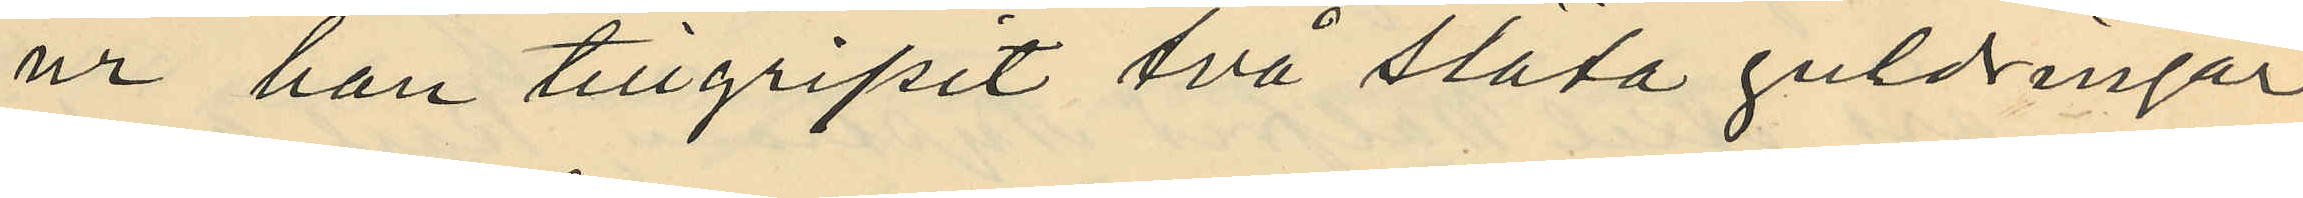ur han tillgripit två släta guldringar
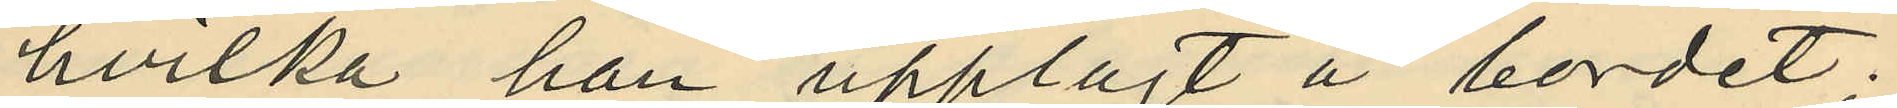hvilka han upplagt å bordet.
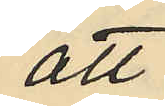att
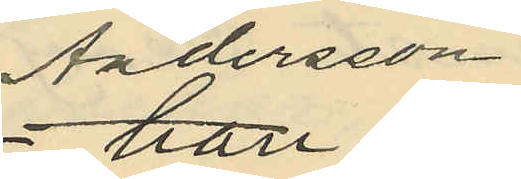Andersson
